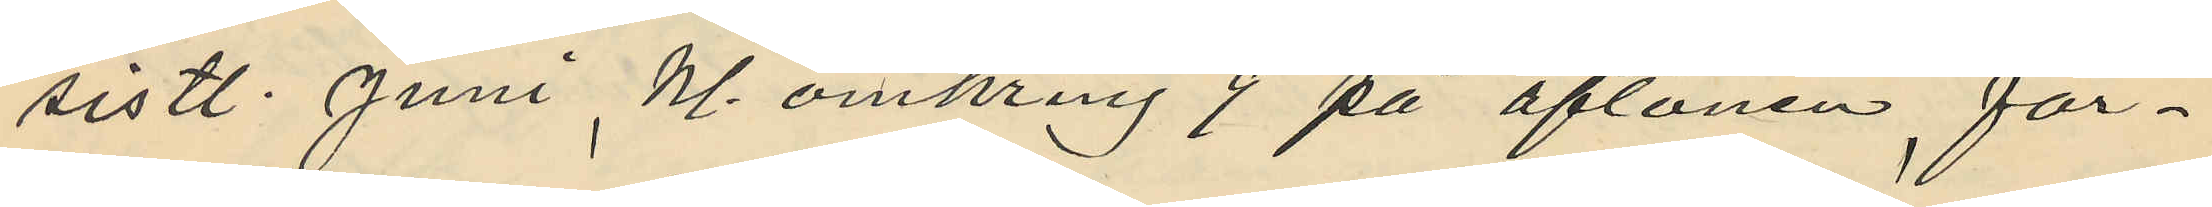sistl. Juni, kl. omkring 9 på aftonen för¬
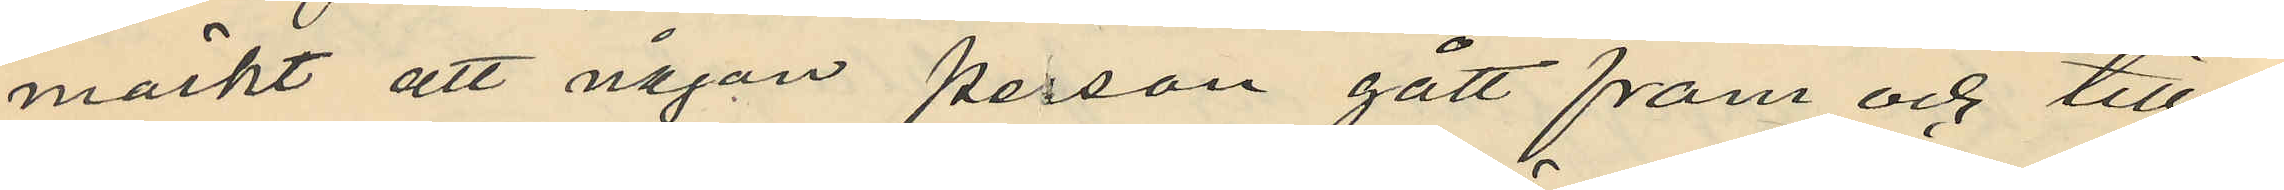märkt att någon person gått fram och till¬
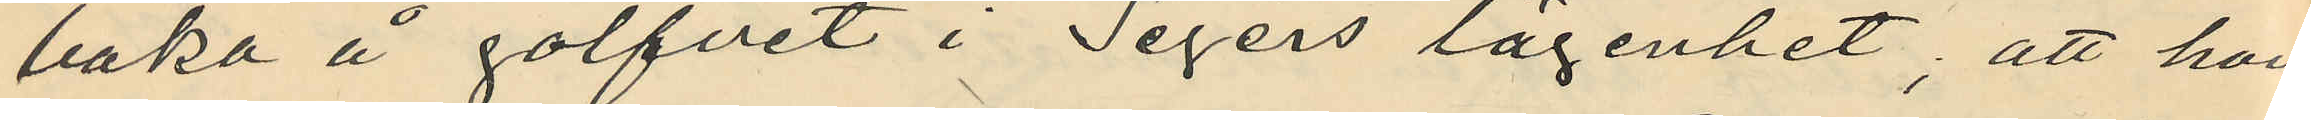baka å golfvet i Segers lägenhet; att hon
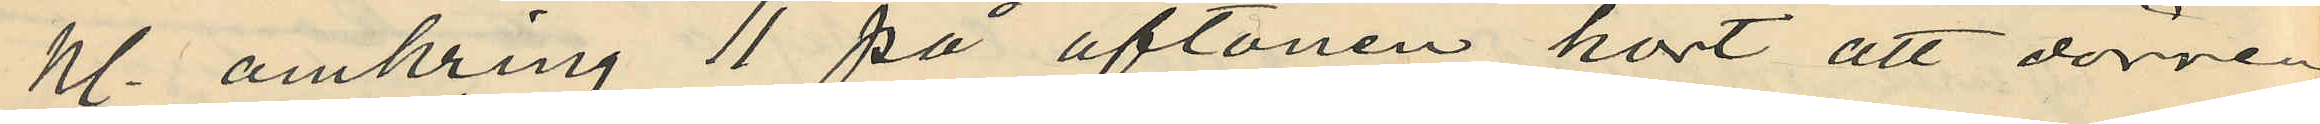kl. omkring 11 på aftonen hört att dörren
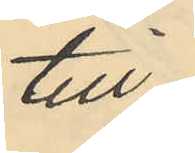till
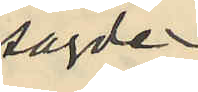sagde
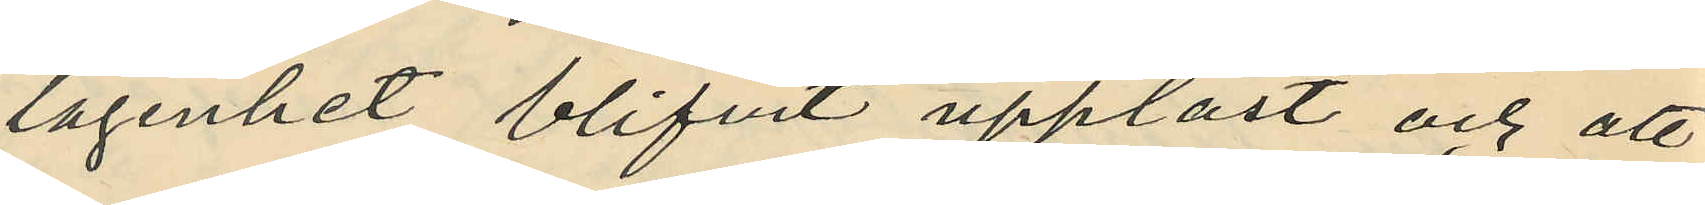lägenhet blifvit upplåst och att
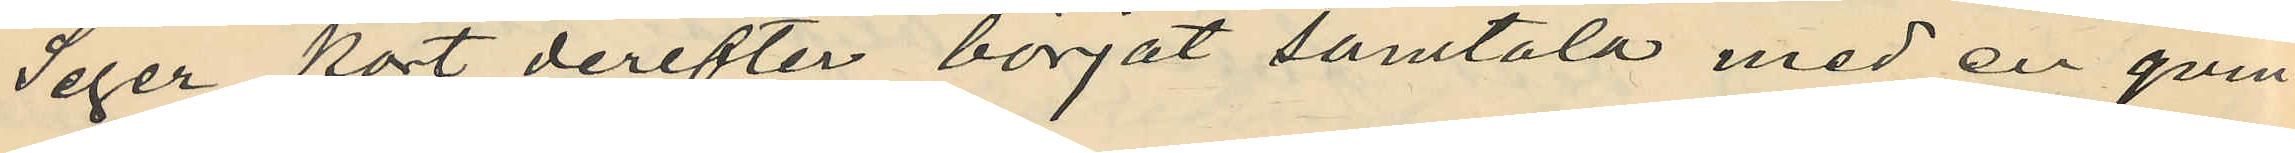Seger kort derefter börjat samtala med en qvin¬
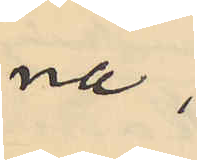na,
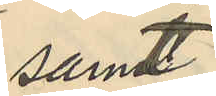samt
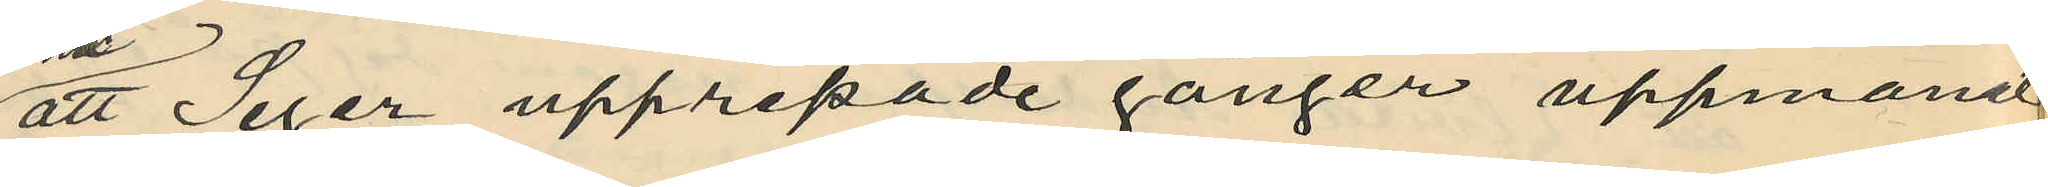att Seger upprepade gånger uppmanat
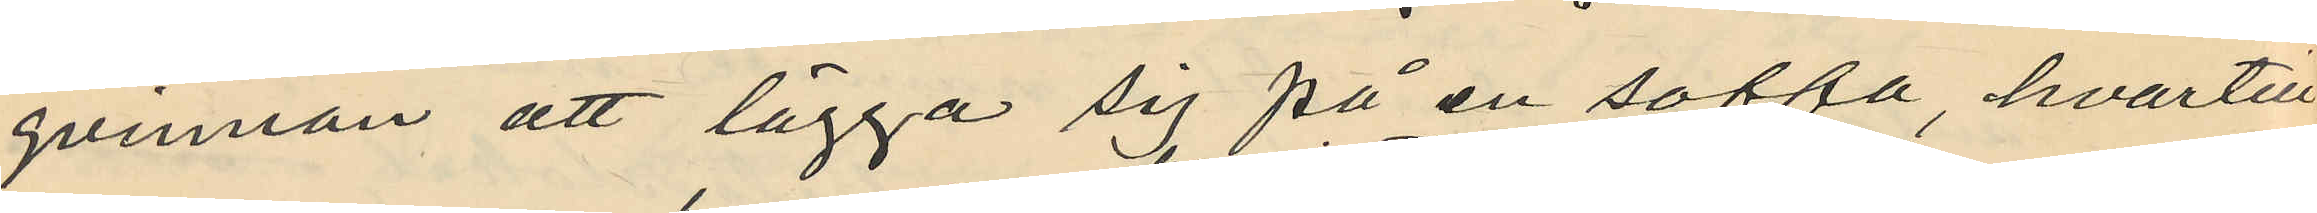qvinnan att lägga sig på en soffa, hvartill
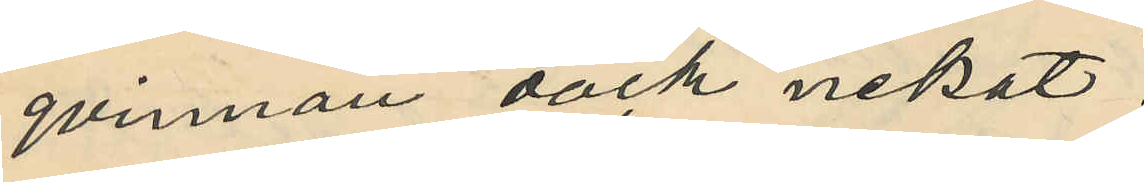qvinnan dock nekat.
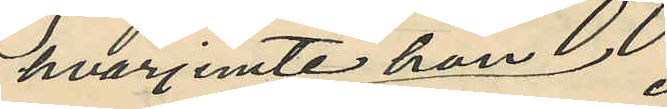hvarjemte hon
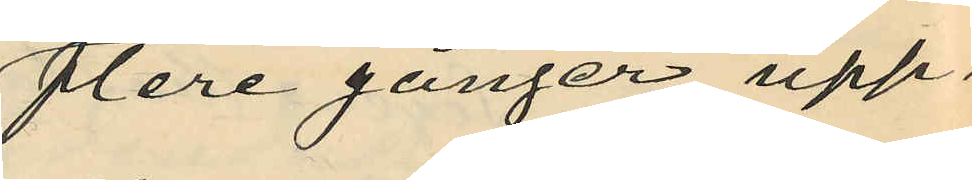flere gånger upp¬
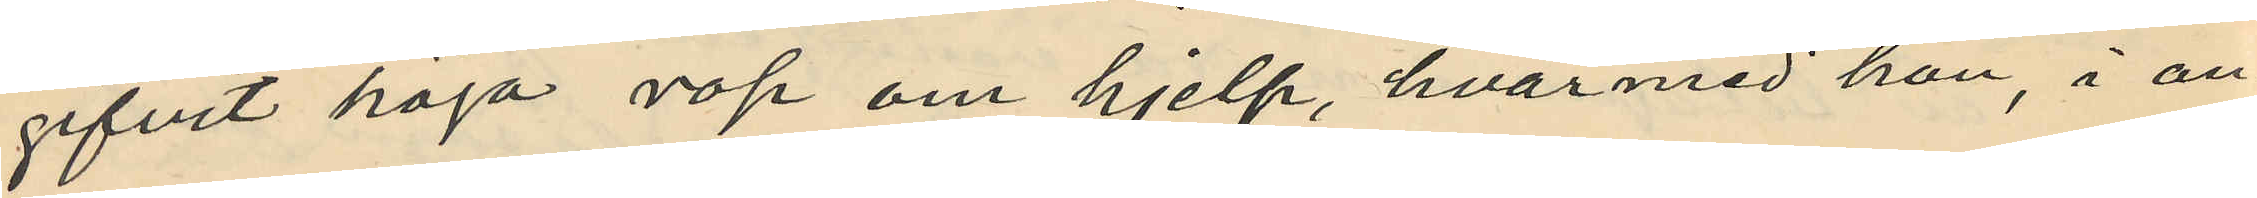gifvit höga rop om hjelp, hvarmed hon, i an¬
